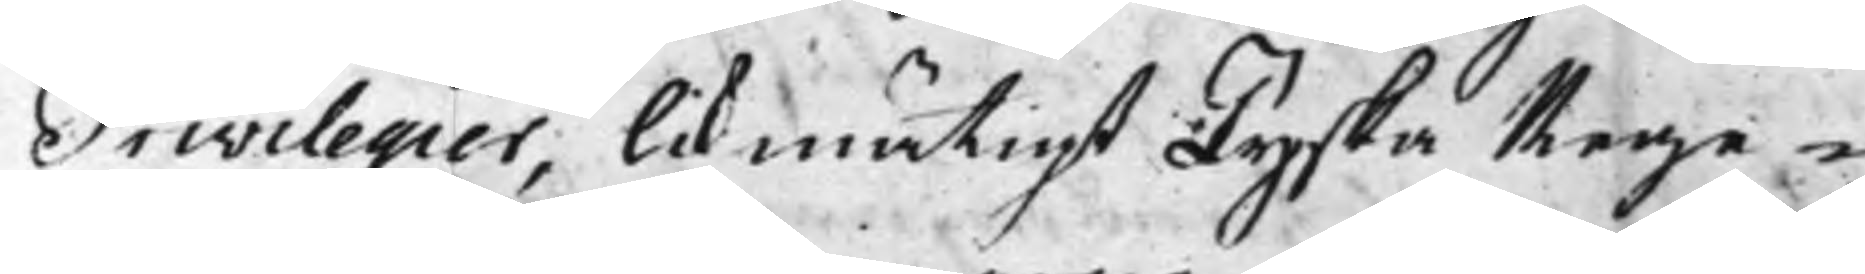Privilegier, likmätigt Tyska Rege¬
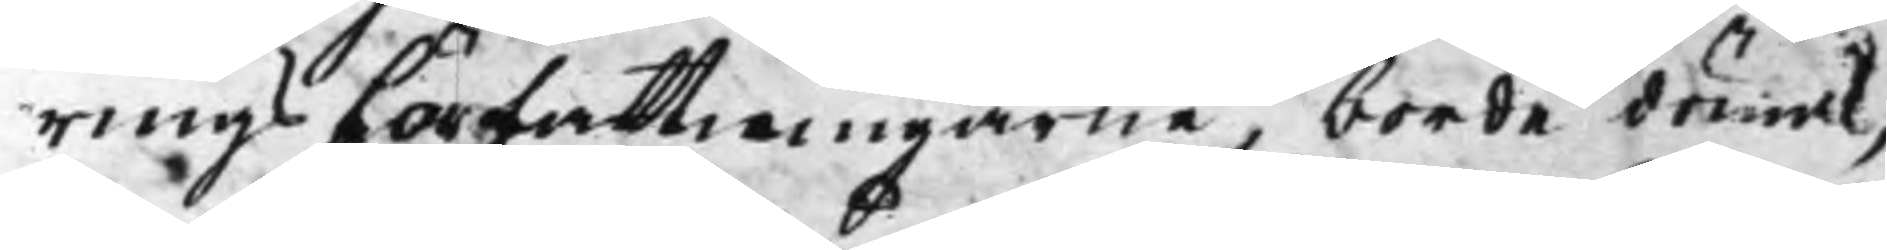ringsFörfattningarne, borde dömas,
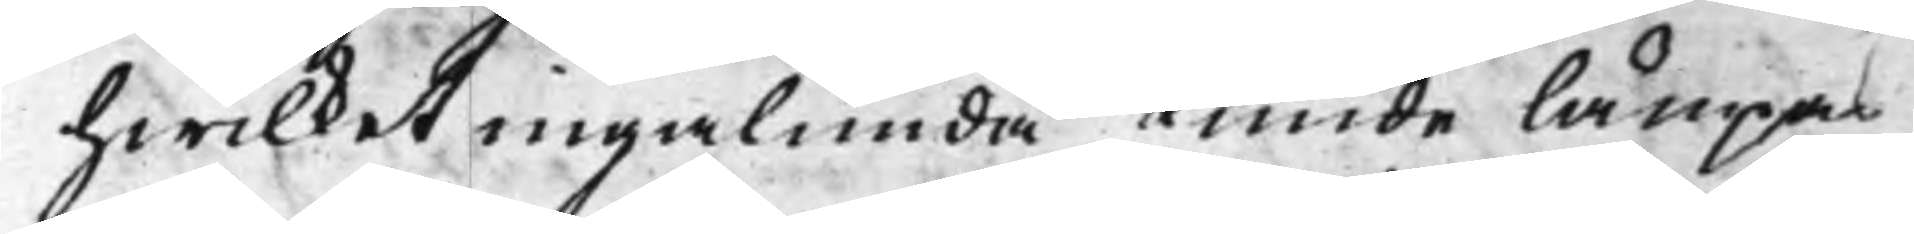hwilket ingalunda Kunde lämpas
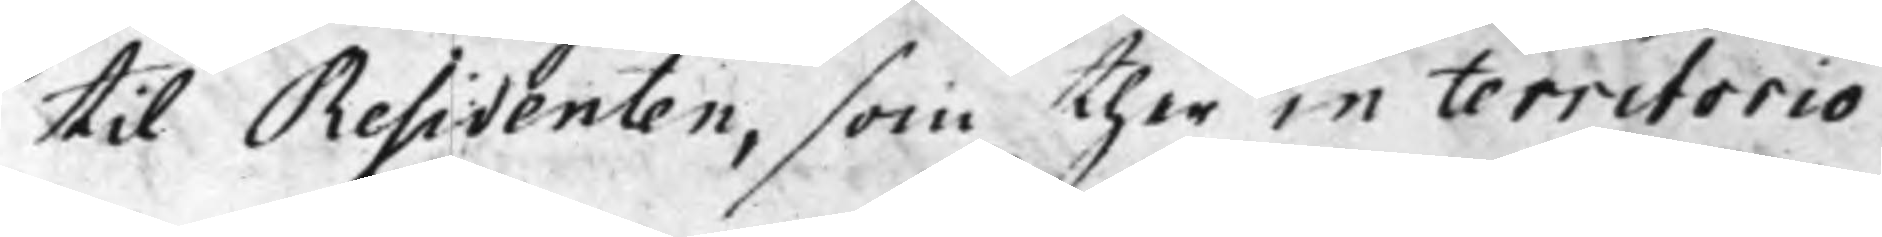til Residenten, som ther in territorio
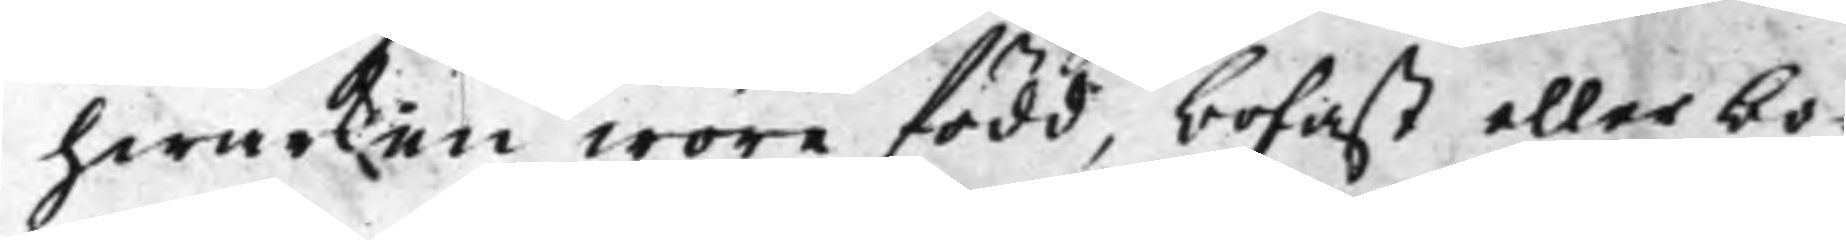hwarken wore född, bofast eller bo¬
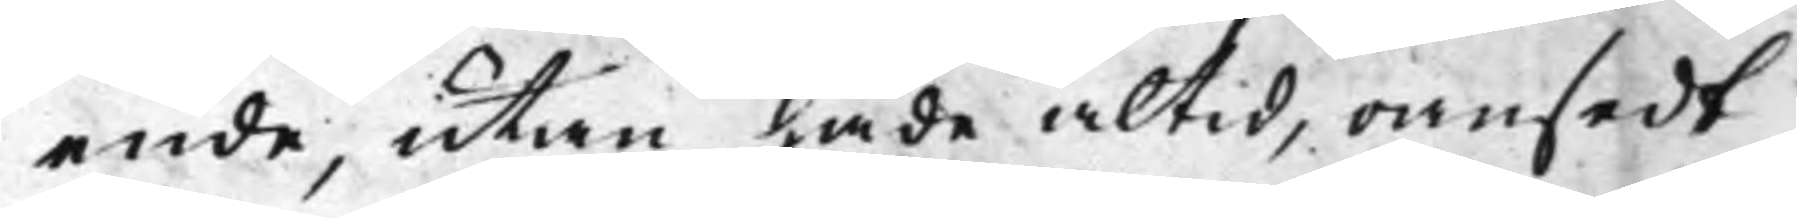ende, utan hade altid, oansedt
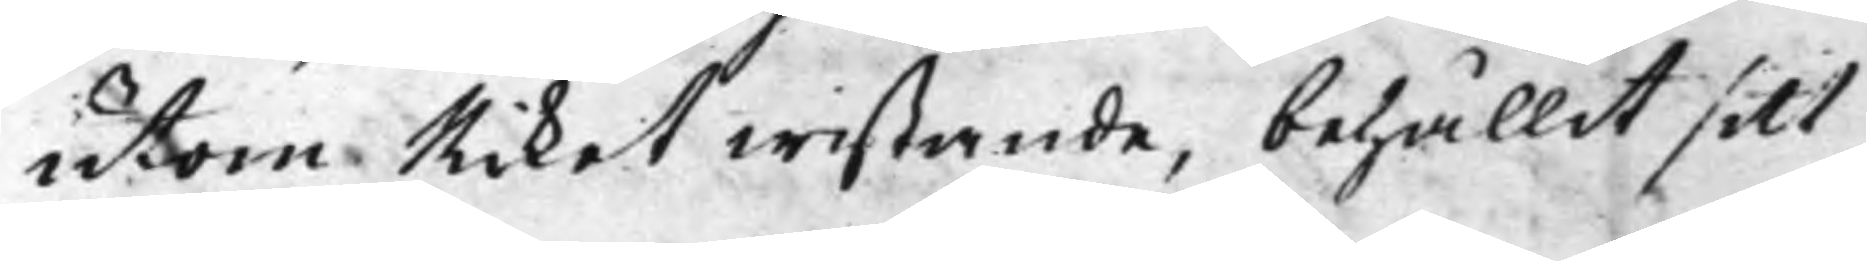utom Riket wistande, behållit sitt
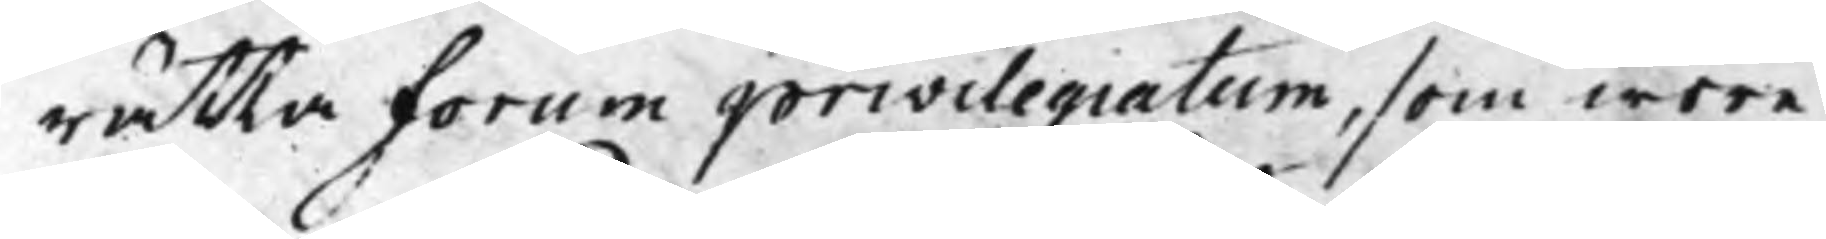rätta Forum privilegiatum, som wore
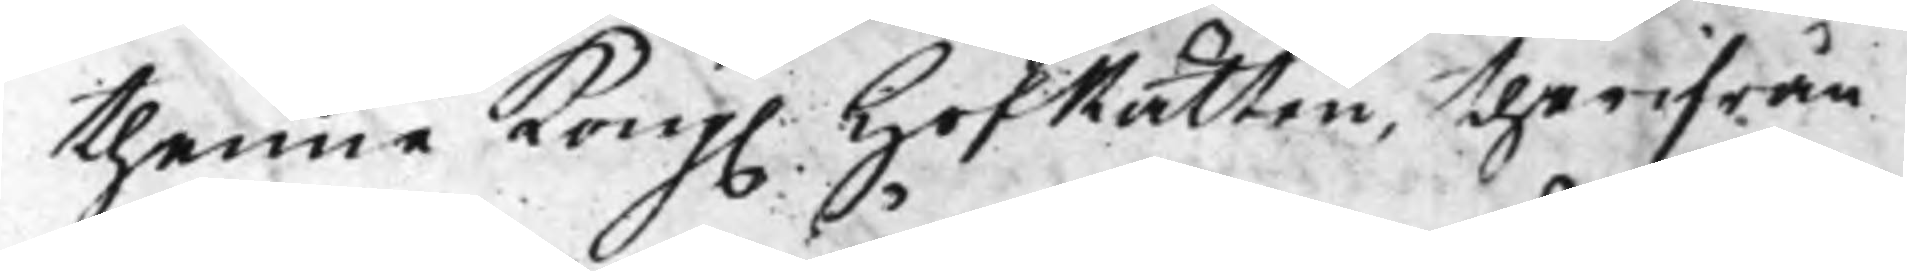thenne Kong. HofRätten, therifrån 
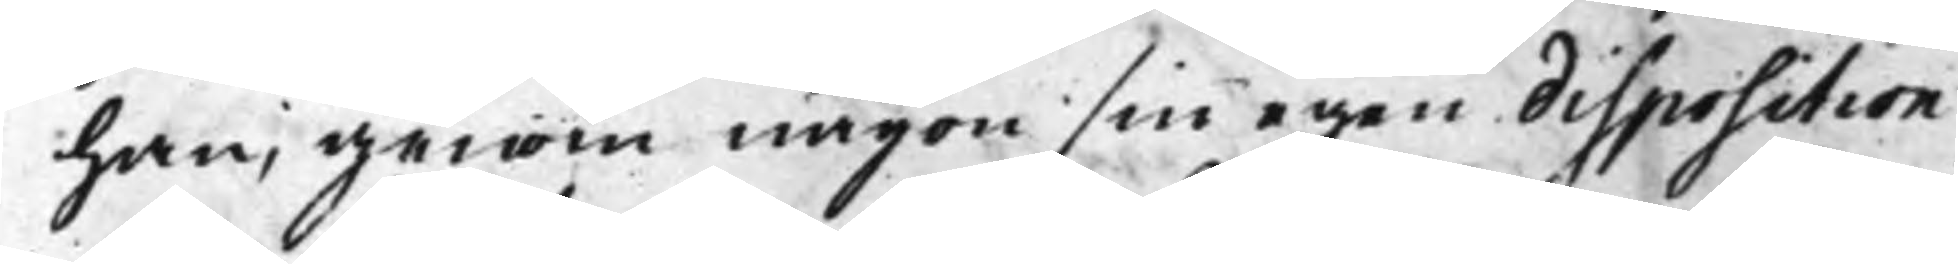han, genom någon sin egen disposition
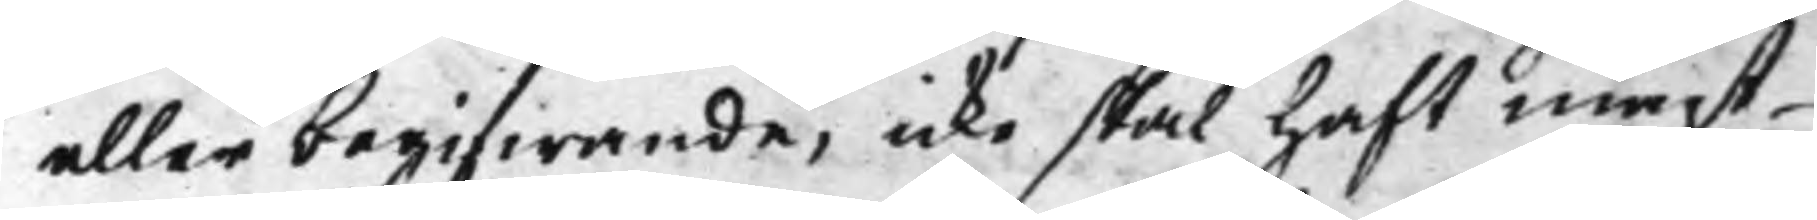eller begifwande, icke skal haft magt
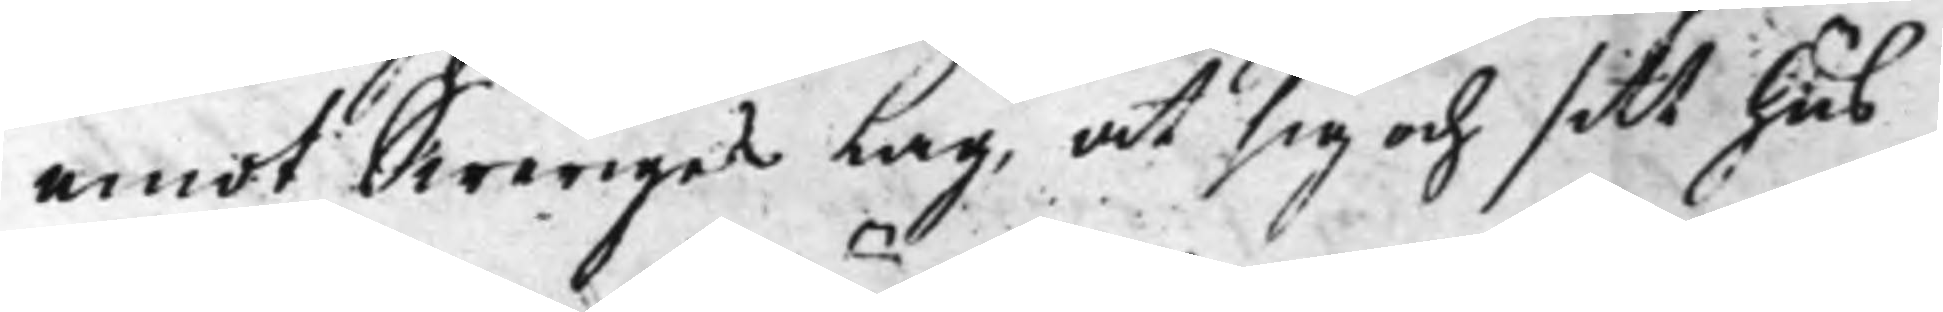emot Sweriges Lag, at sig och sitt hus
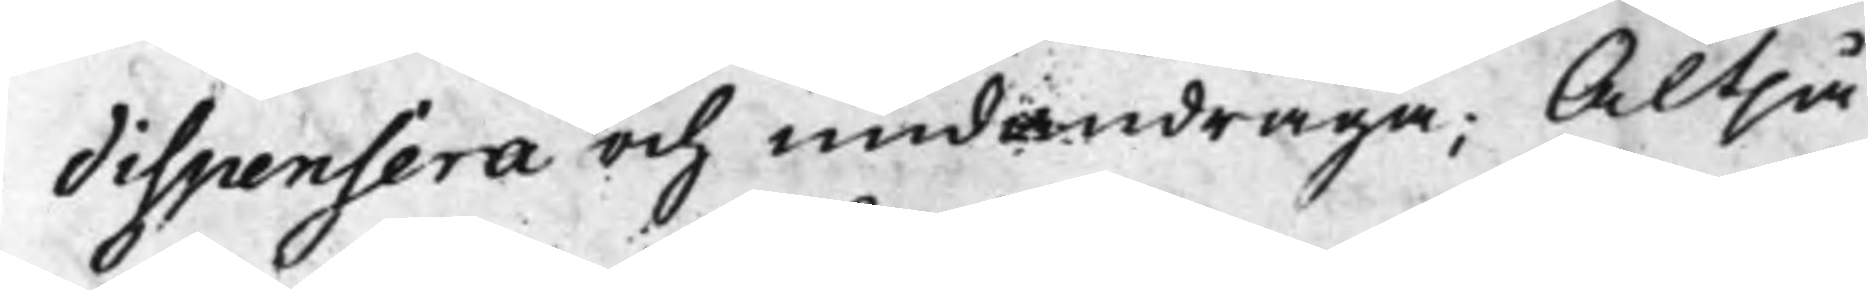dispensera och undandraga; Altså
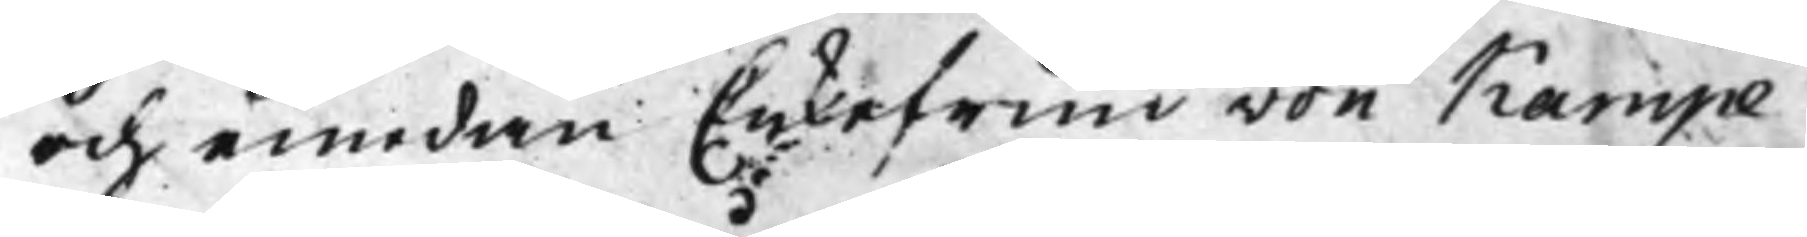och emedan Enkefrun von Kampe
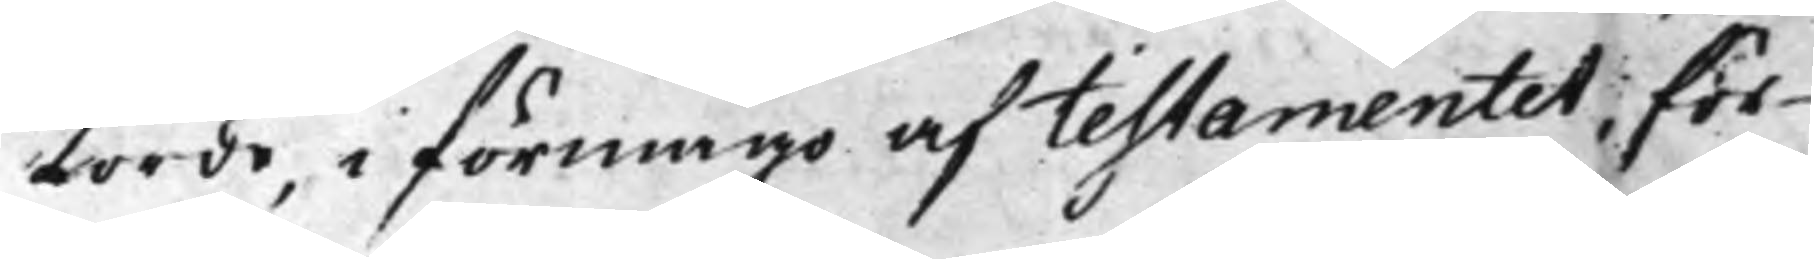torde, i förmågo af testamentet, för¬
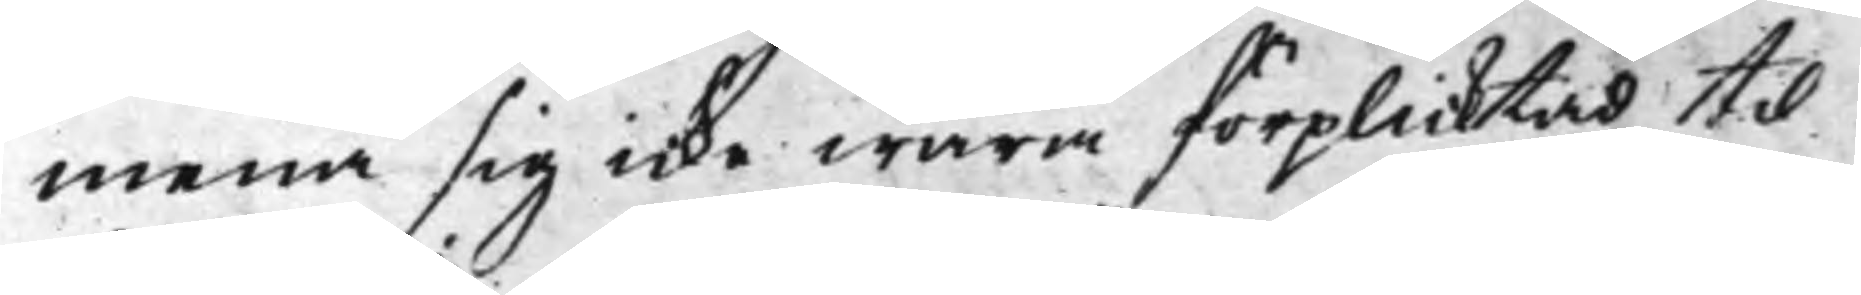mena sig icke wara förplicktad, til
